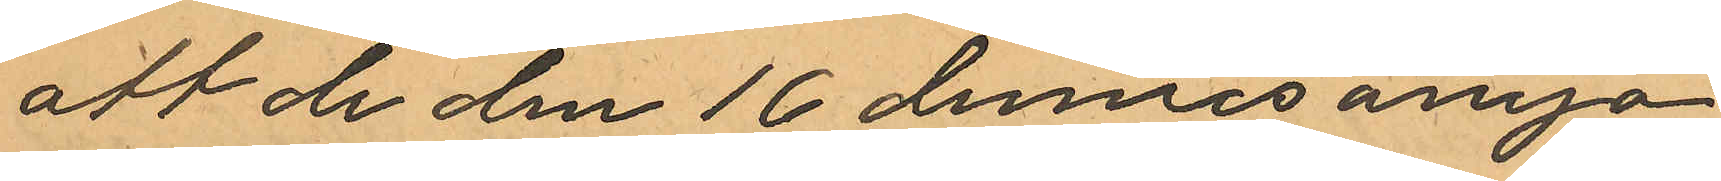att de den 16 dennes ånyo
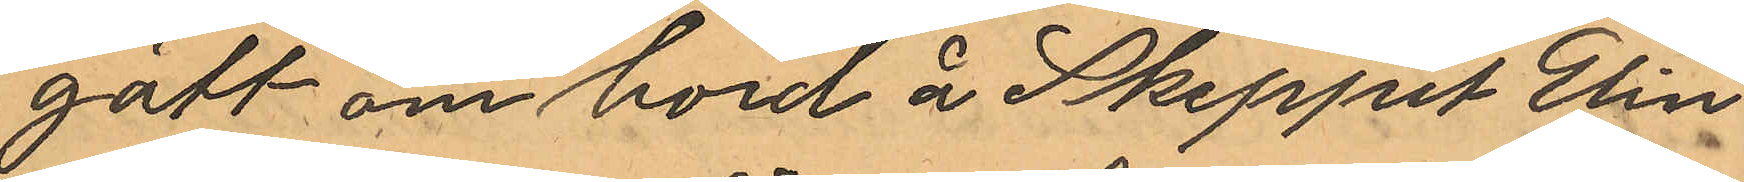gått ombord å Skeppel Elin
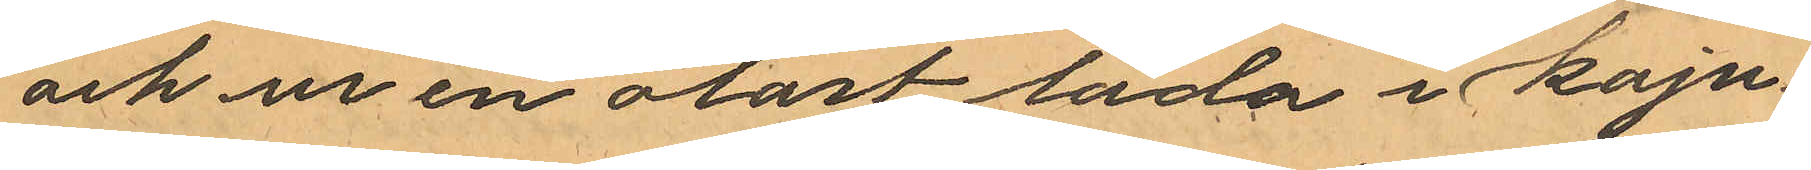och ur en olåst låda i kaju¬
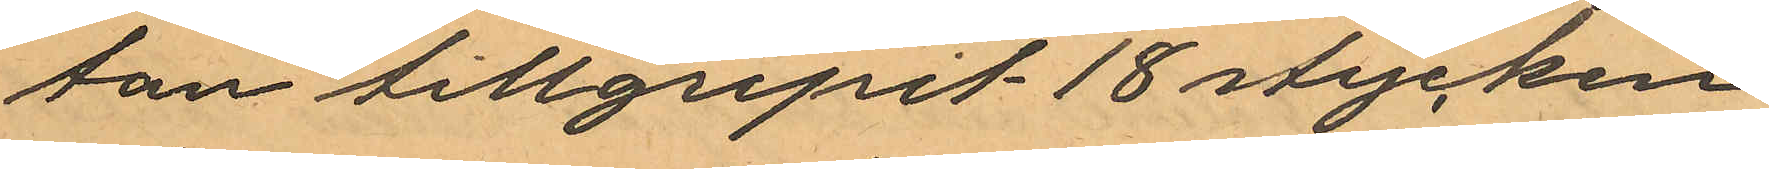tan tillgripit 18 stycken
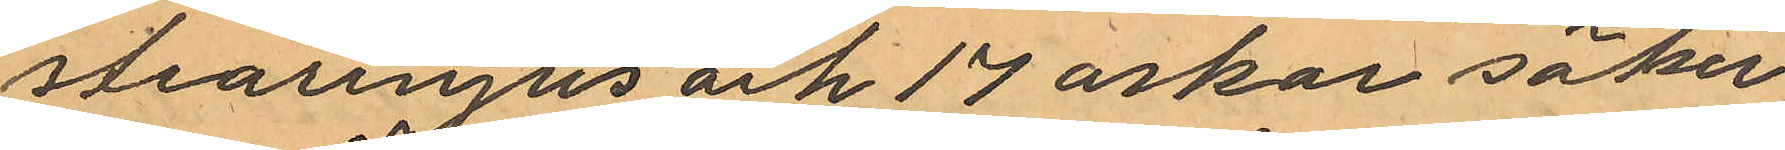stearinljus och 17 askar säker¬
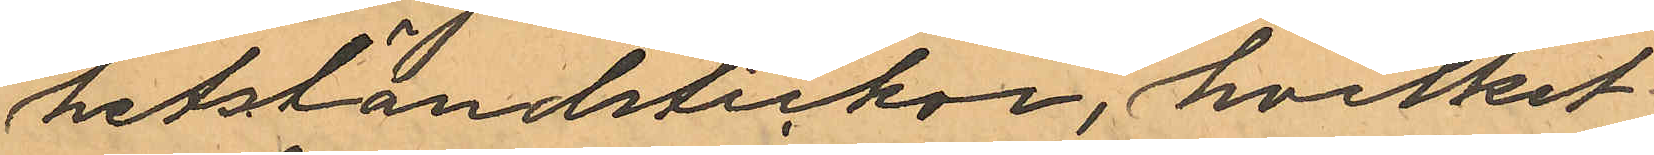hetständstickor, hvilket
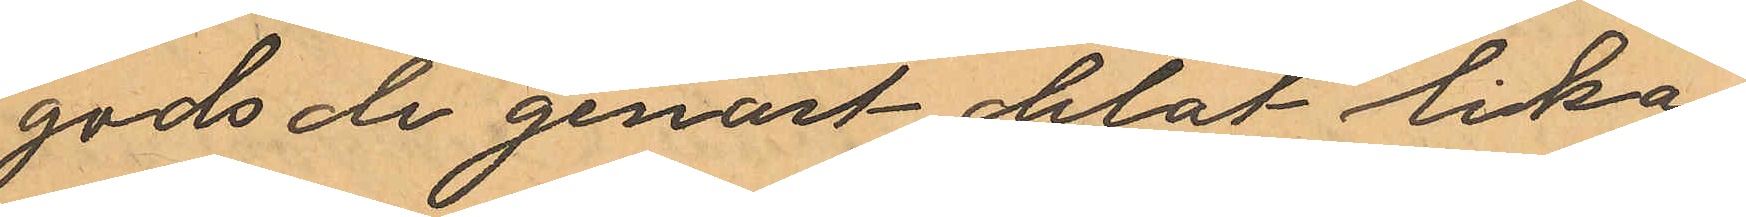gods de genast delat lika
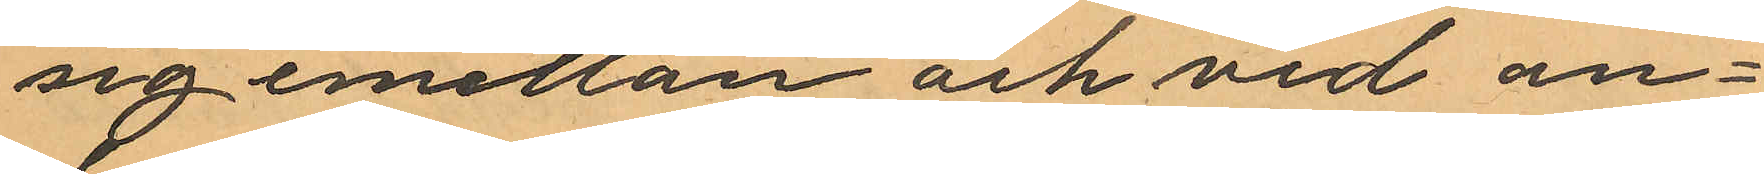sig emellan och vid an¬
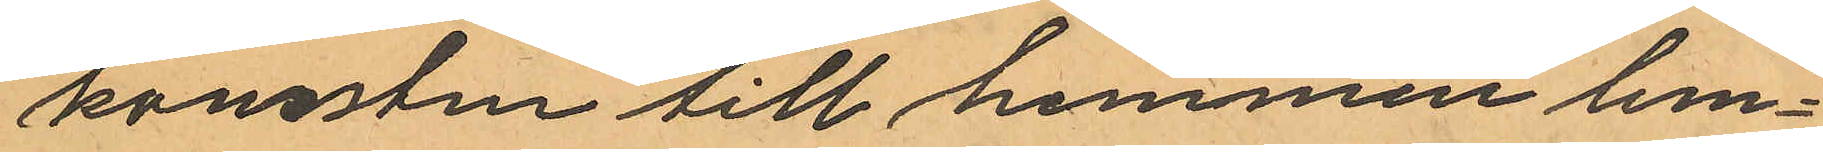komsten till hemmen lem¬
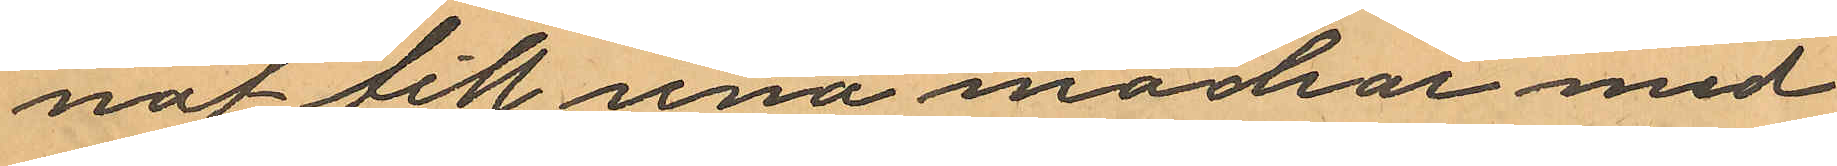nat till sina mödrar med
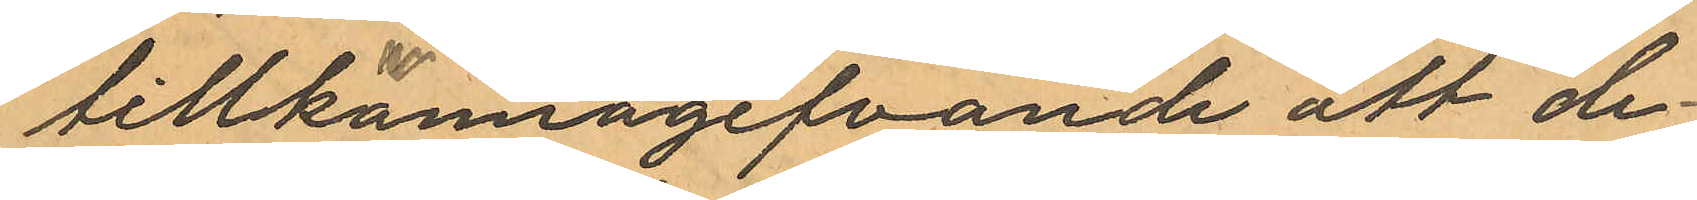tillkännagifvande att de
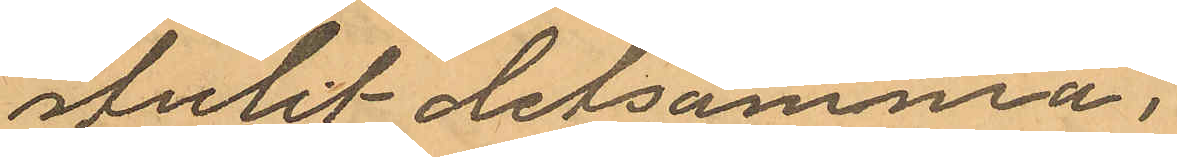stulit detsamma;
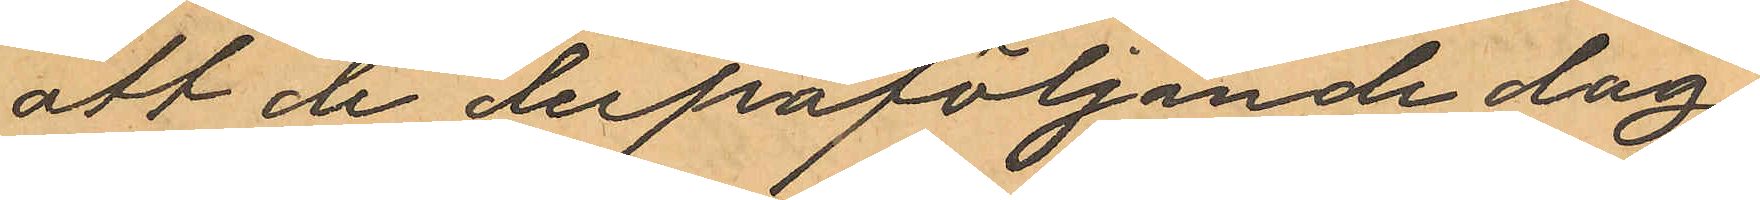att de derpåföljande dag
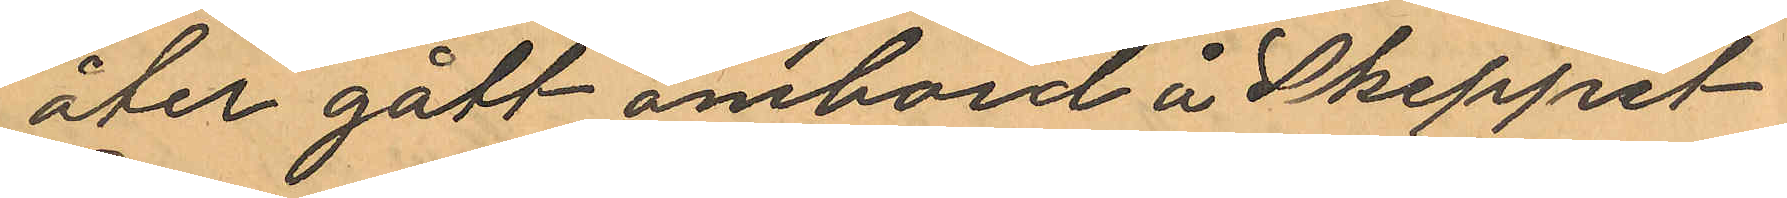åter gått ombord å Skeppet
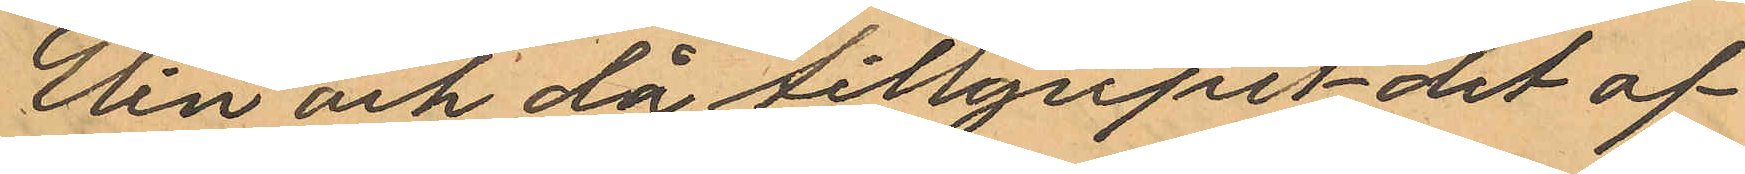Elin och då tillgripit det af
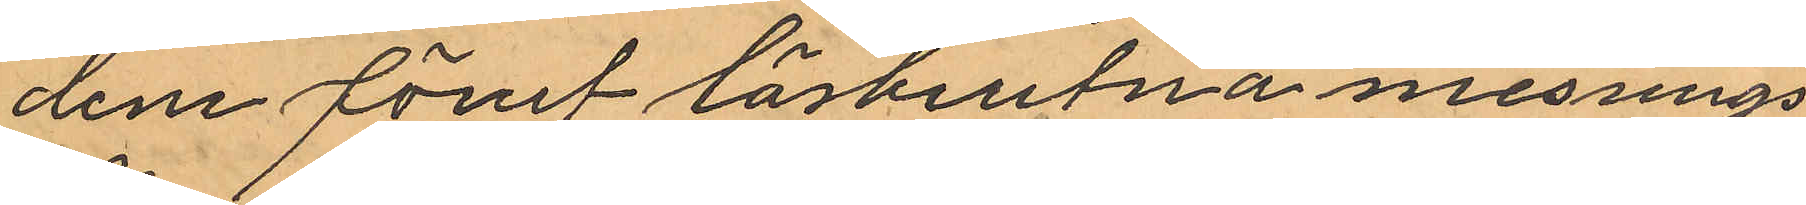dem förut lösbrutna messings¬
